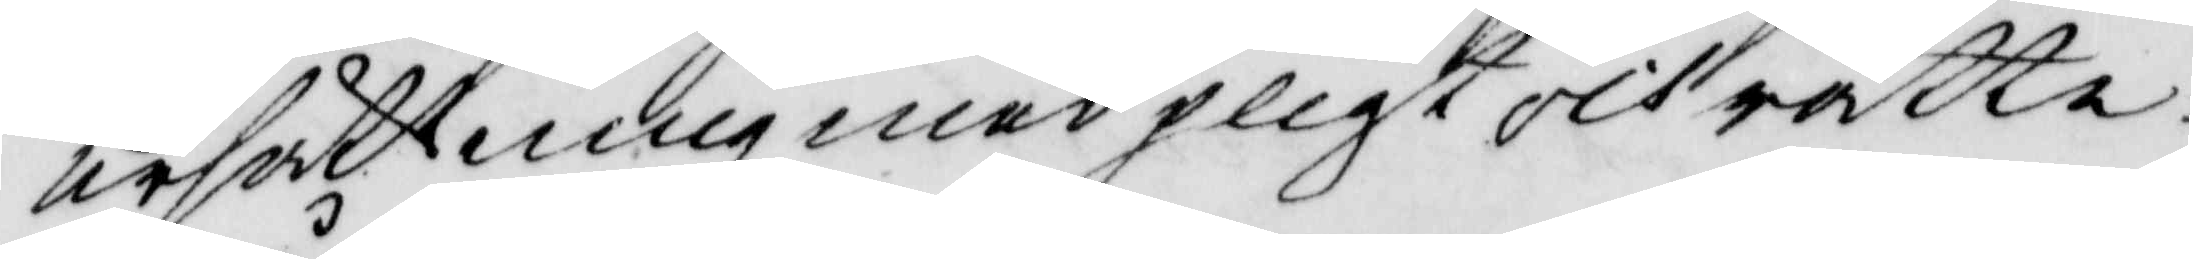ersättning med pligt och rätte¬
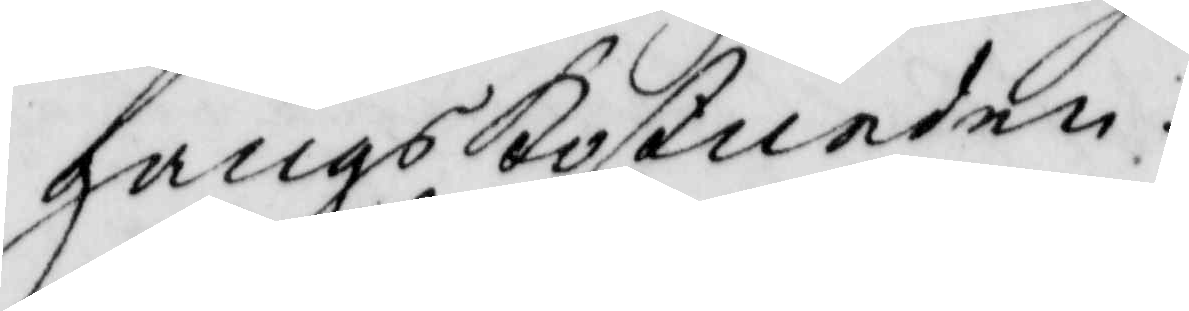gångskostnaden.
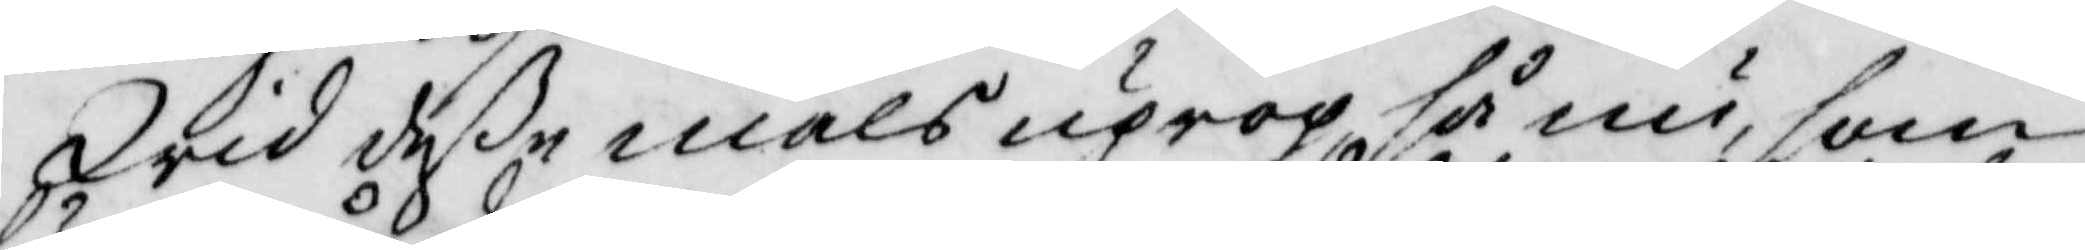Wid deße måls uprop så nu, som
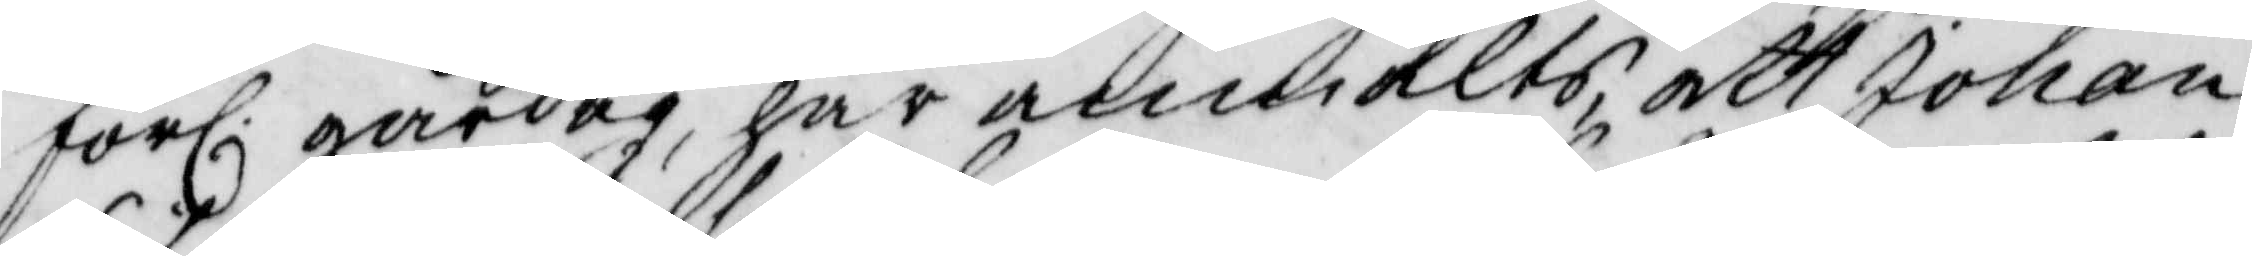förl. gårdag, har anmälts, att Johan
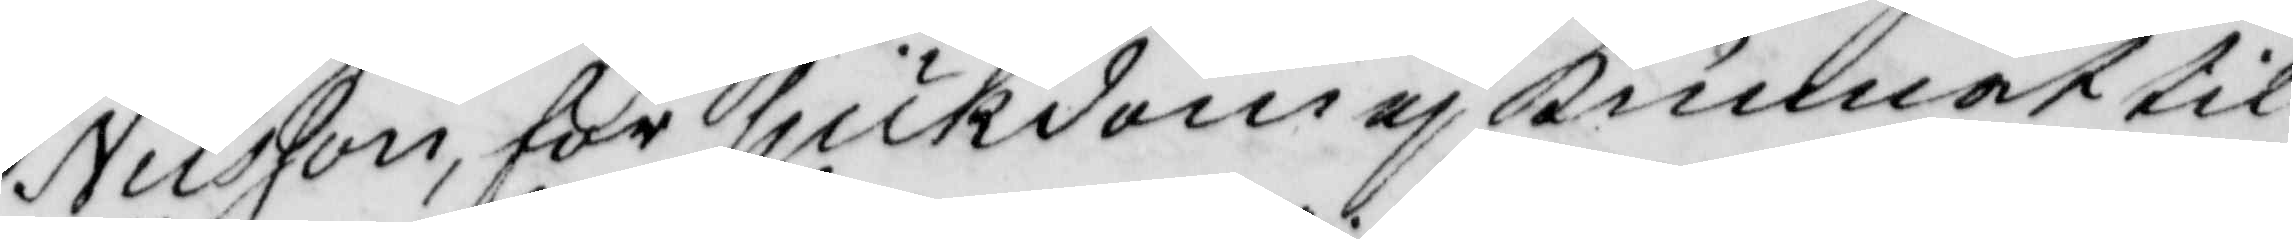Nilsson, för sjukdom ej kunnat til
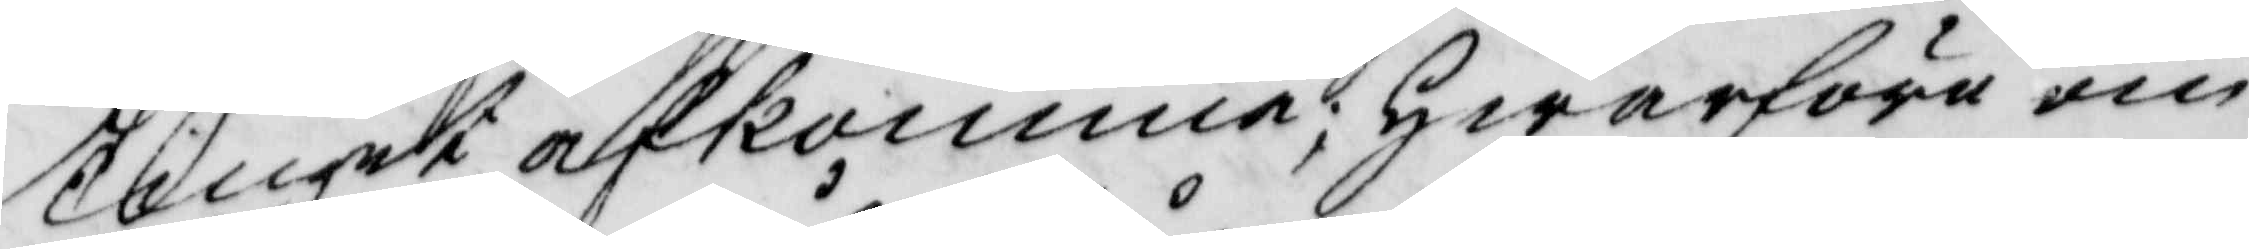Tinget afkomma; hwarföre om
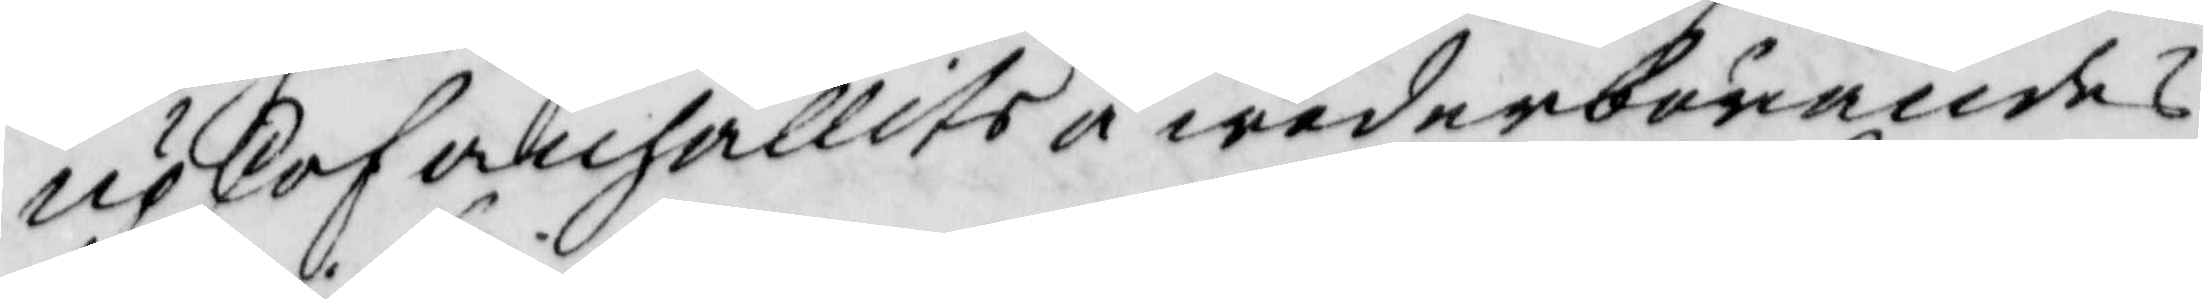upskof anhållits å wederbörandes
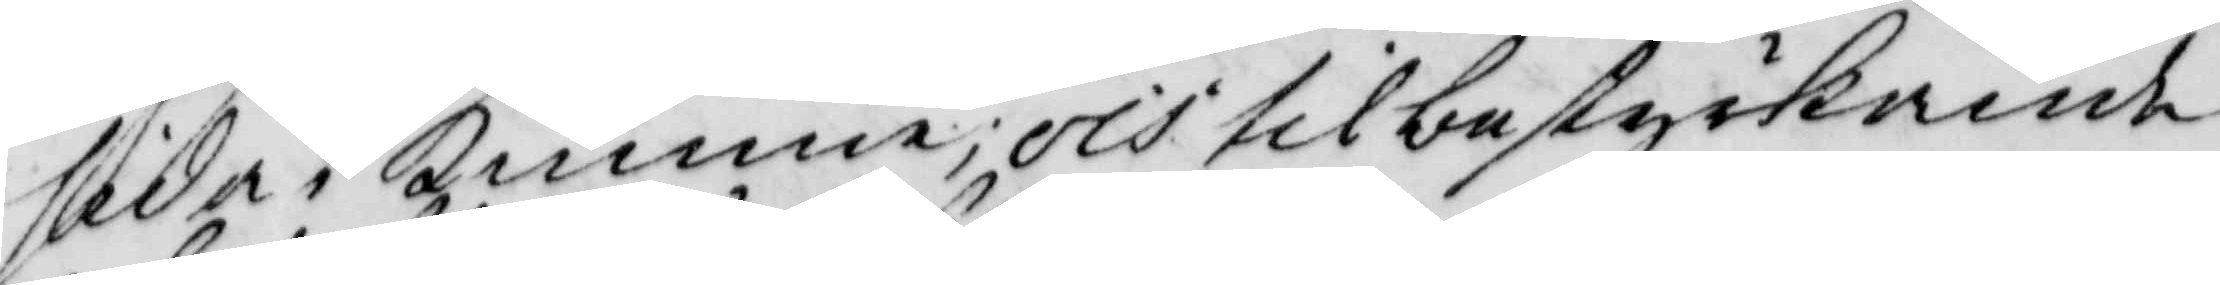sida i Kimme; och til bestyrkande
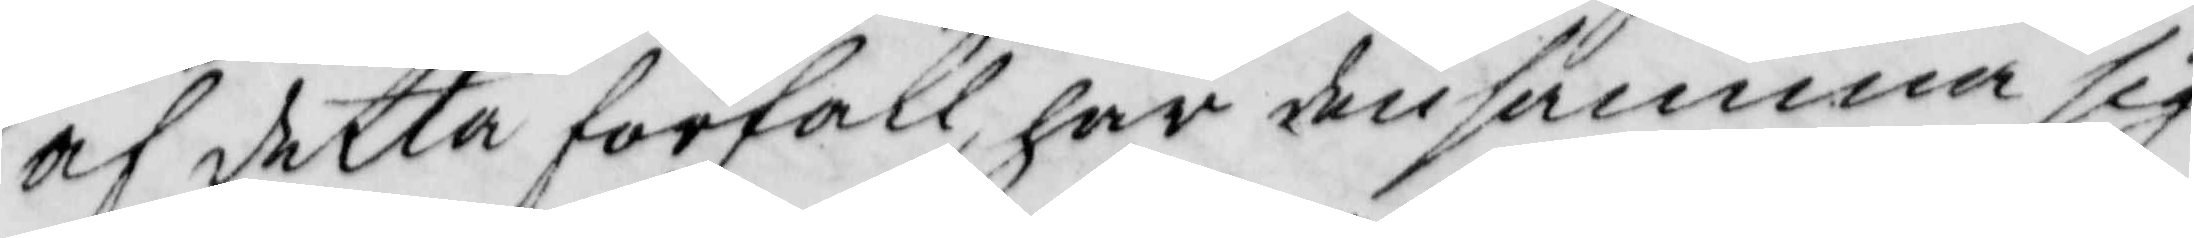af detta förfall har den samma sig
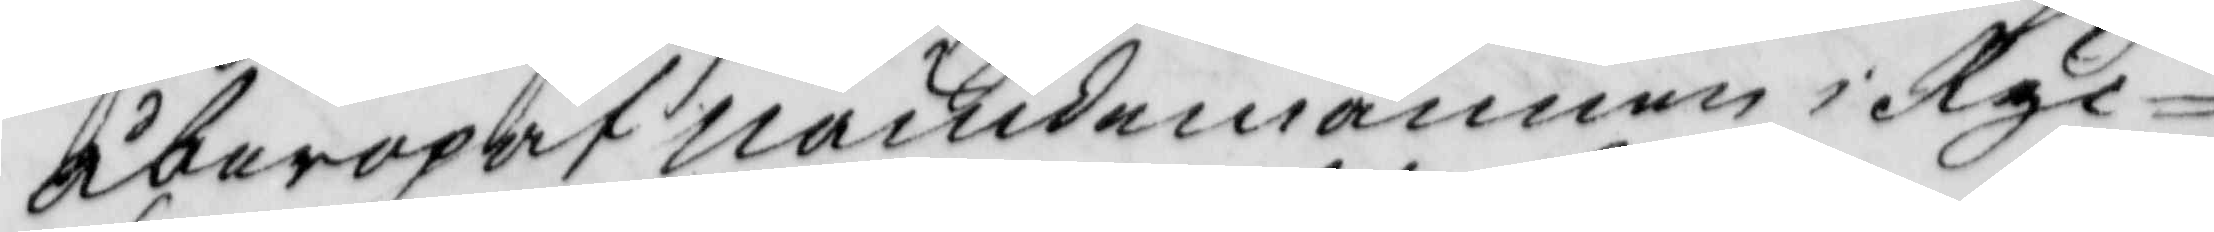åberopat nämdemannen i Ryc¬
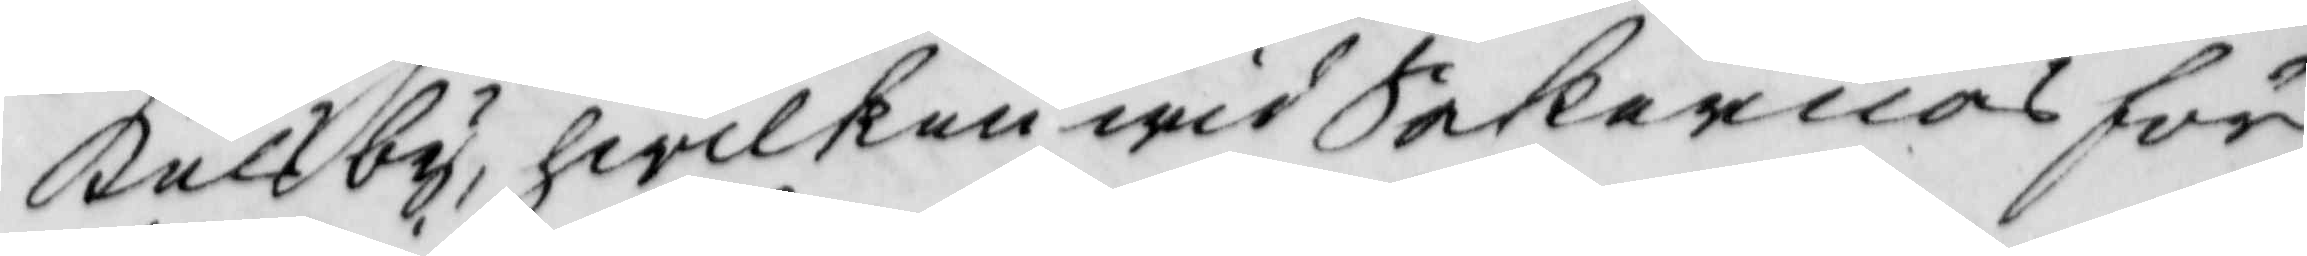kelsby, hwilken wid Sakernas för¬
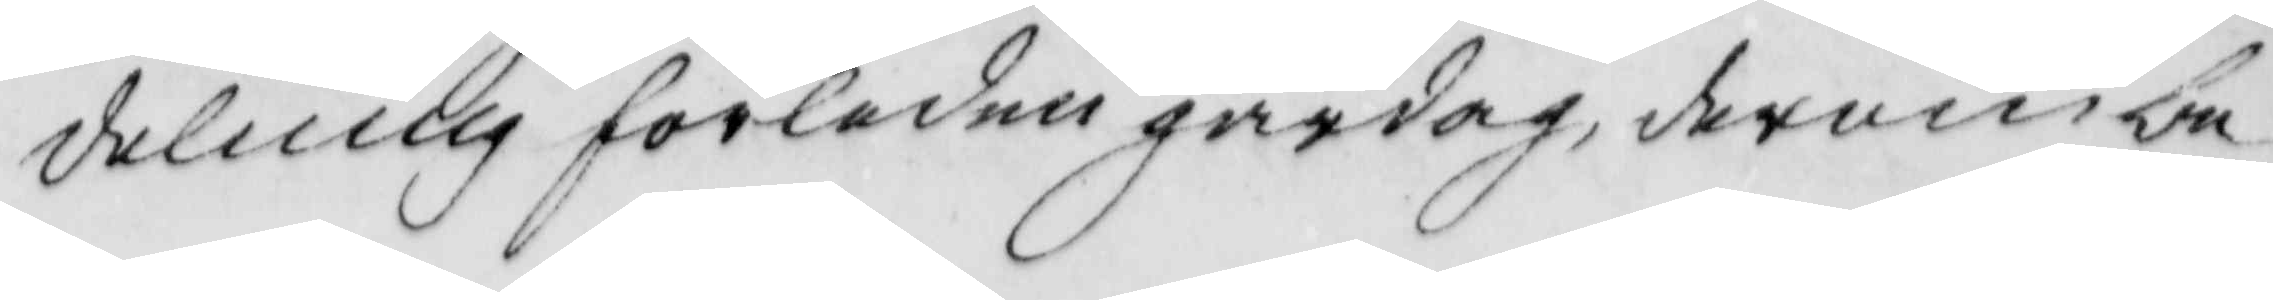delning förledne gårdag, derom be¬
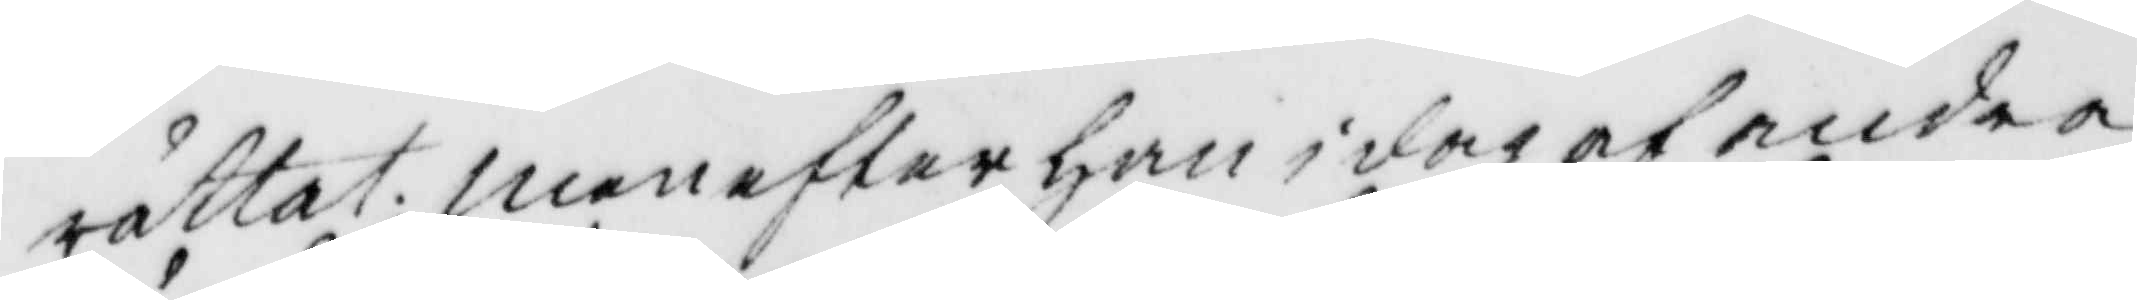rättat, men efter han idag af andra
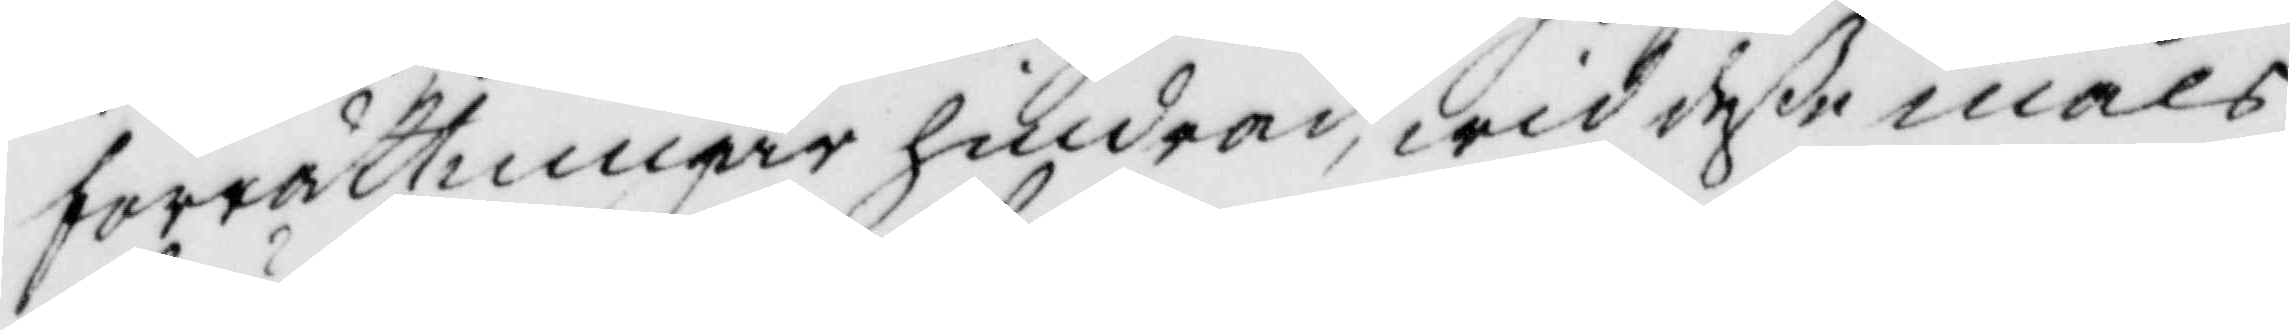förrättningar hindrad, wid deße måls
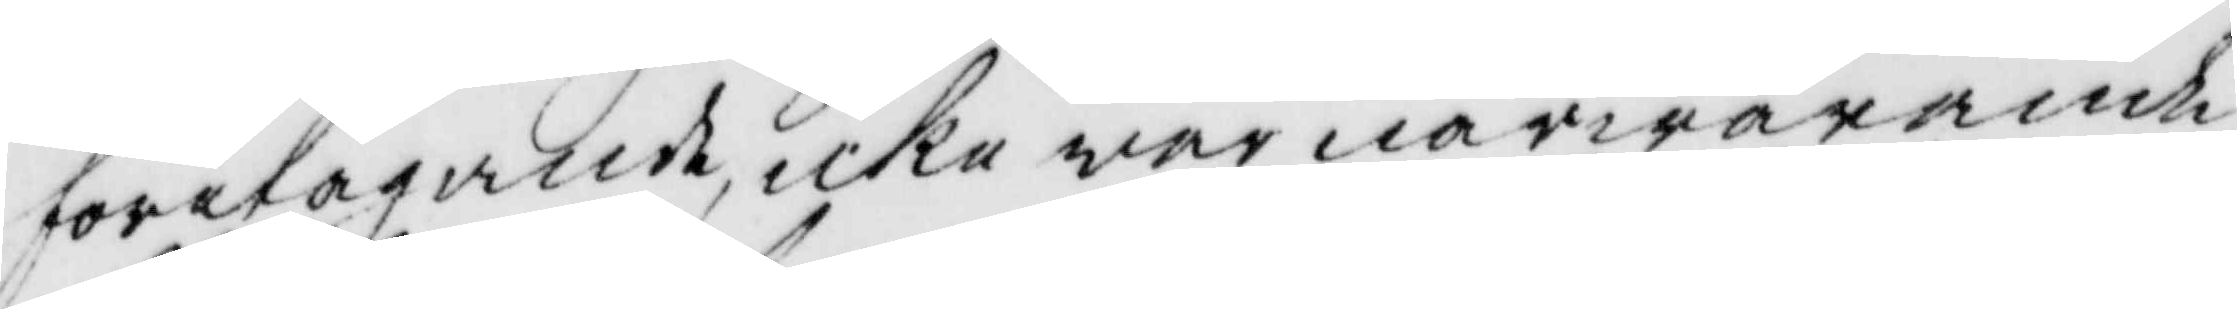företagande, icke war närwarande
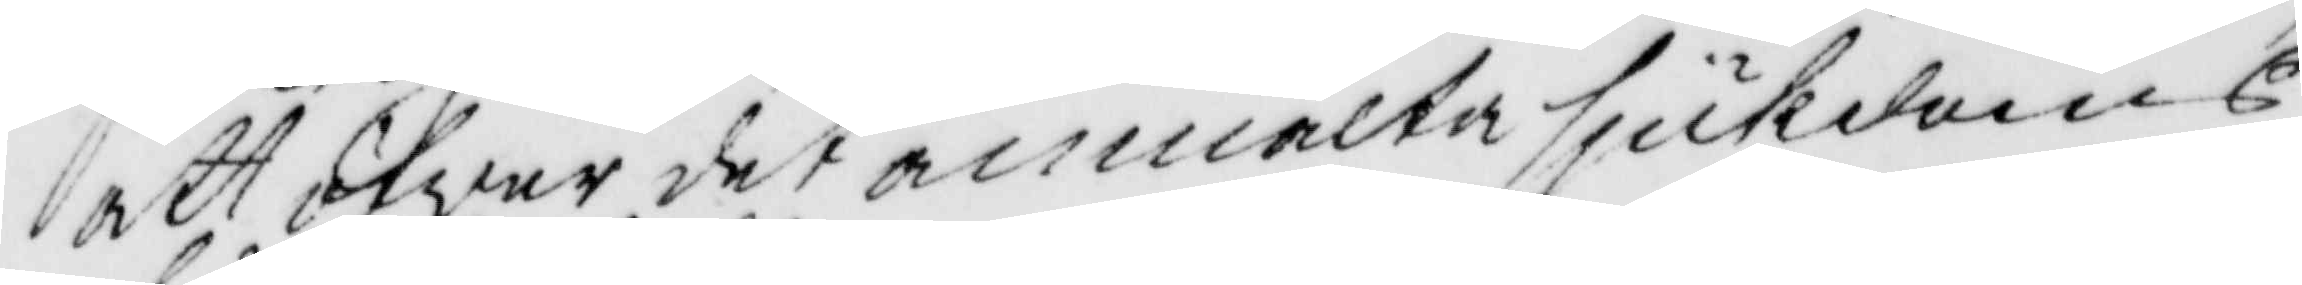att öfwer det anmälta sjukdoms
